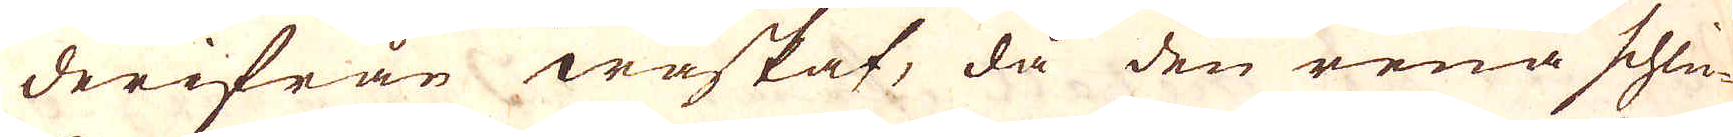derifrån waskat, då den rena schlic-
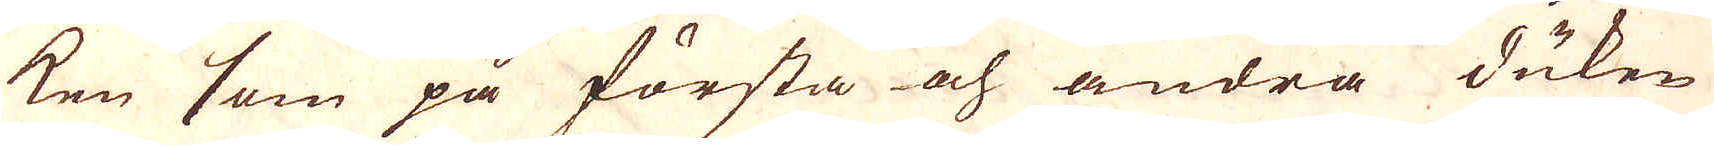ken som på första och andra duken
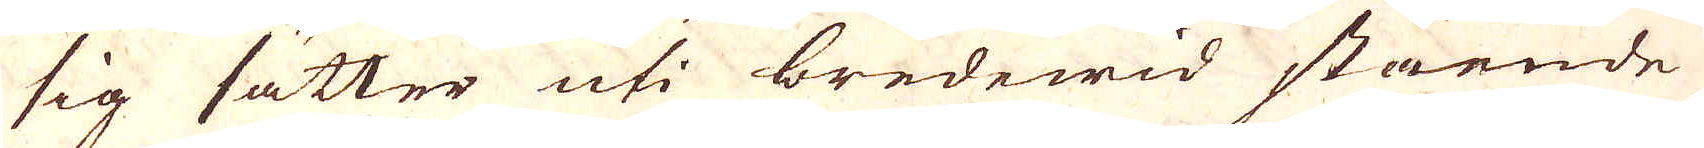sig sätter uti bredewid stående
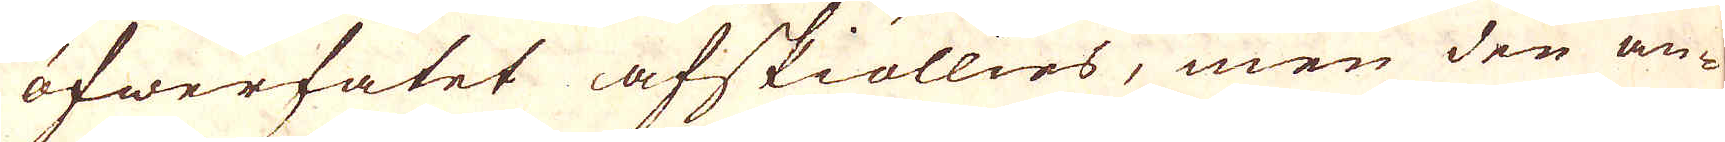öfwerfatet afskiöllies, men den an-
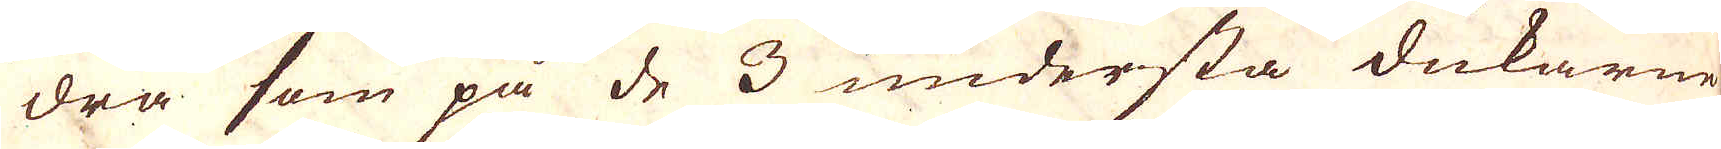dra som på de 3 understa dukarne
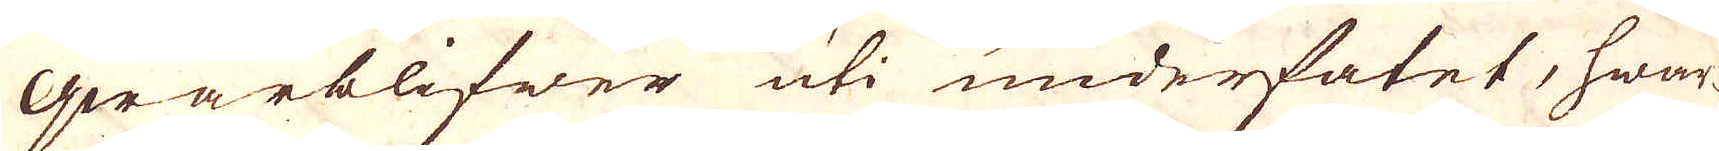qwarblifwer uti underfatet, hwar-
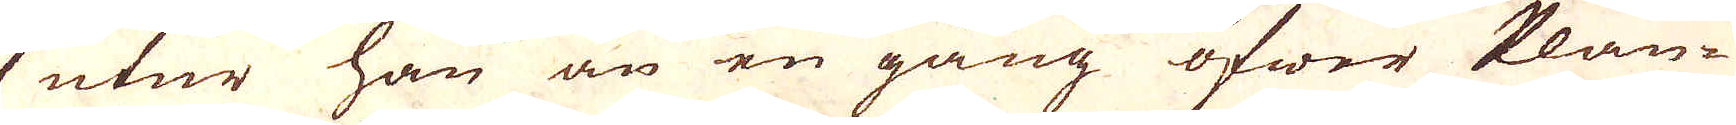utur han än en gång öfwer Plån-
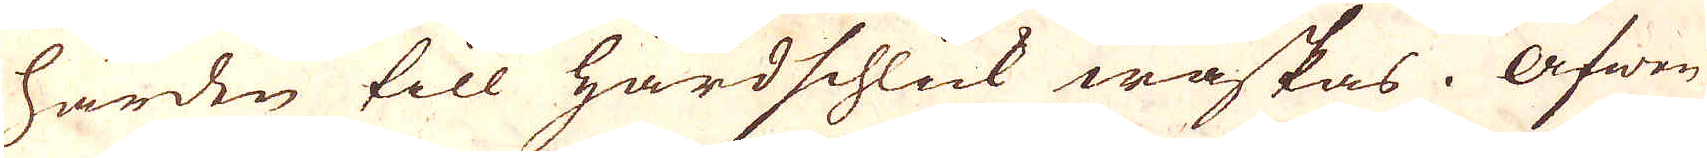härden till Härdschlick waskas. Äfwen
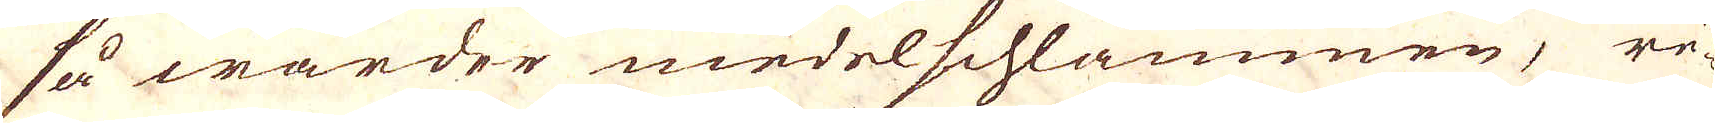så warder medelschlammen, re-
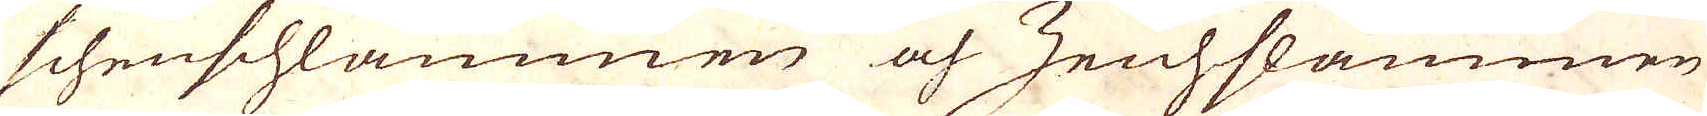schenschlammen och Zeichslammen
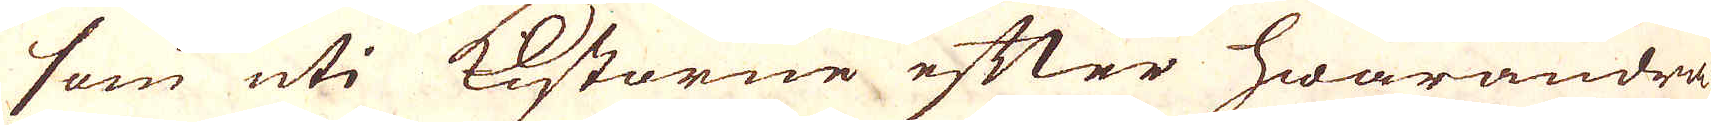som uti Kistorne efter hwarandra
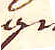egne
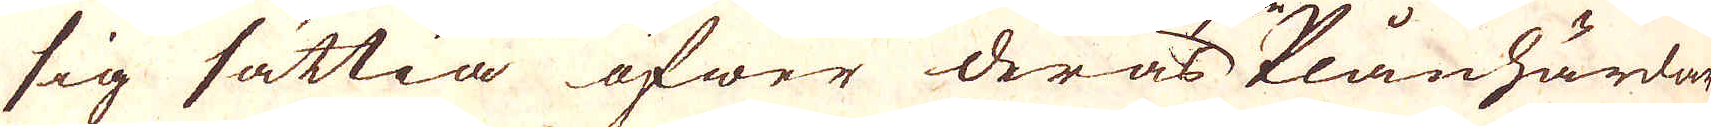sig sättia öfwer deras Plånhärdar
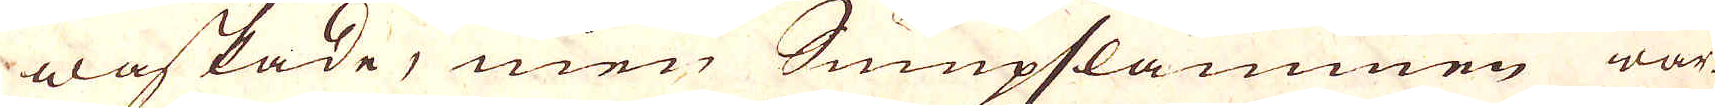waskade, men Sumpslammen war-
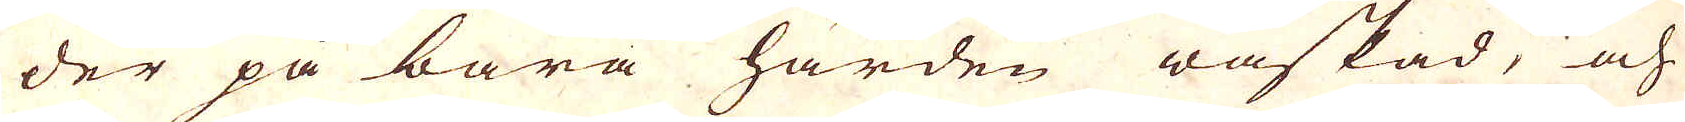der på bara härden waskad, och
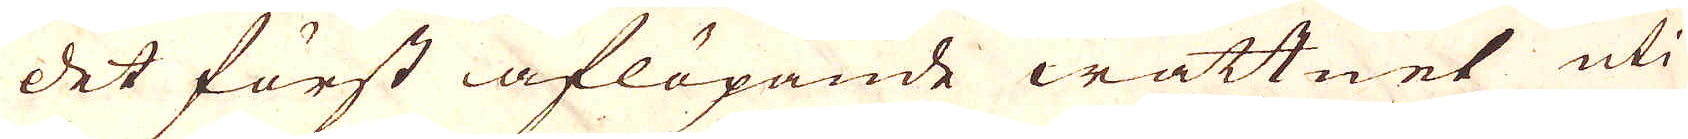det först aflöpande wattnet uti
